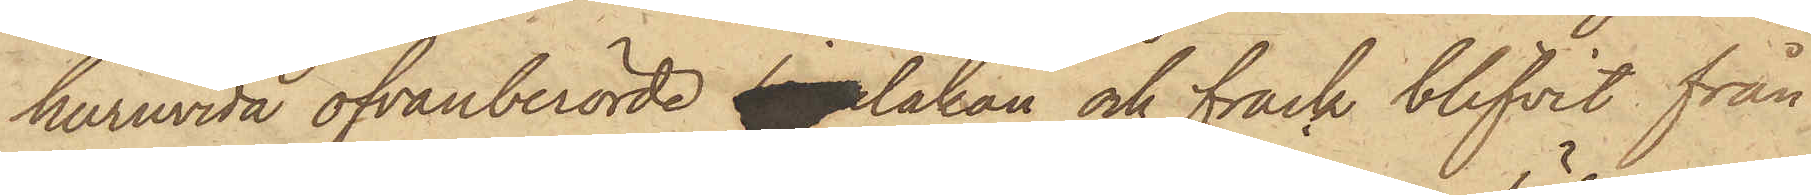huruvida ofvanberörde linnelakan och frack blifvit från
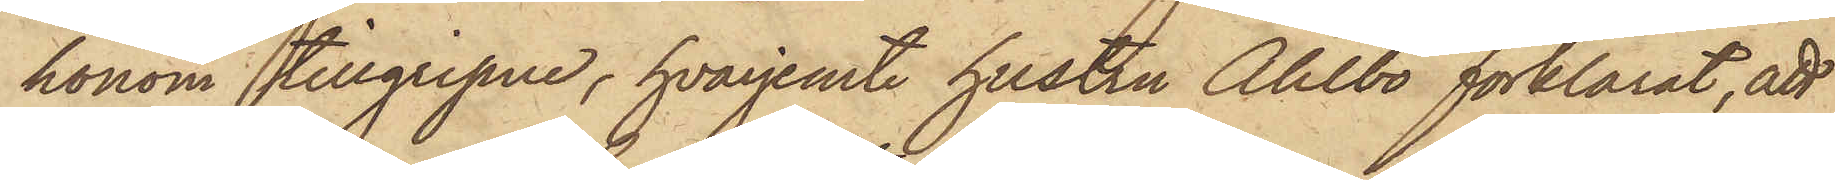honom tillgripne, hvarjemte hustru Ahlbo förklarat, att
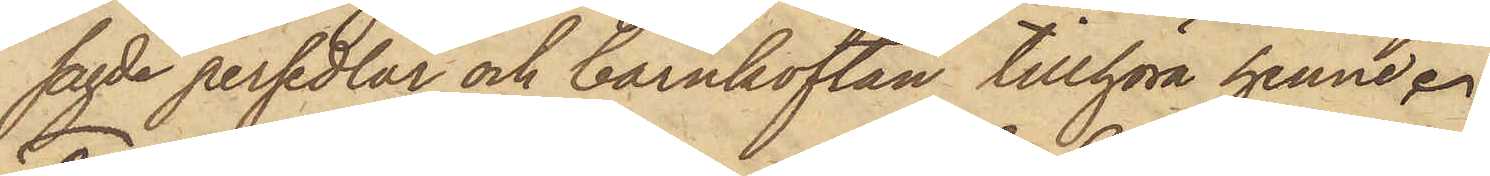sagde persedlar och barnkoftan tillhöra henne.
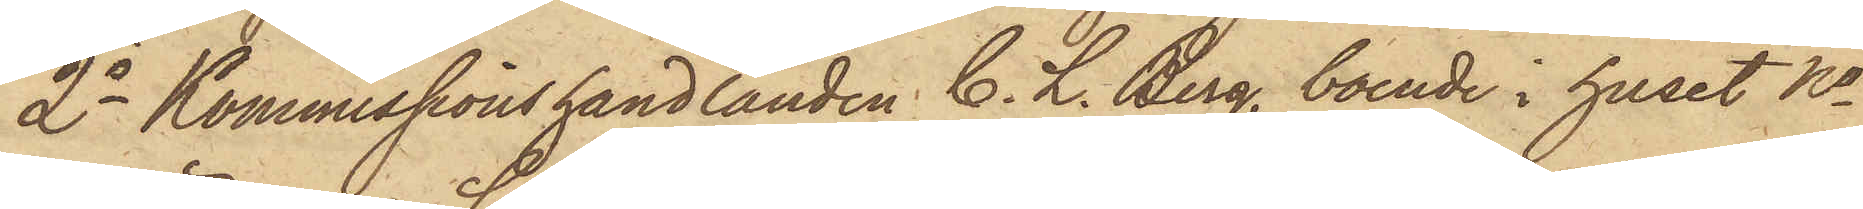2o Kommissionshandlanden C. L. Berg, boende i huset No
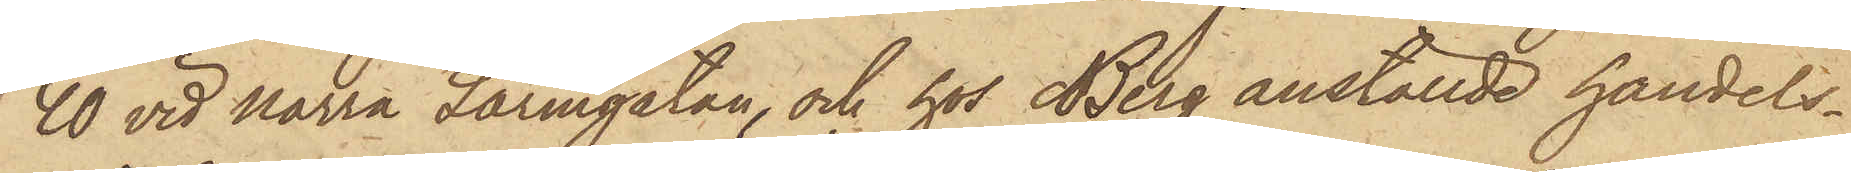40 vid Norra Larmgatan, och hos Berg anställde handels¬
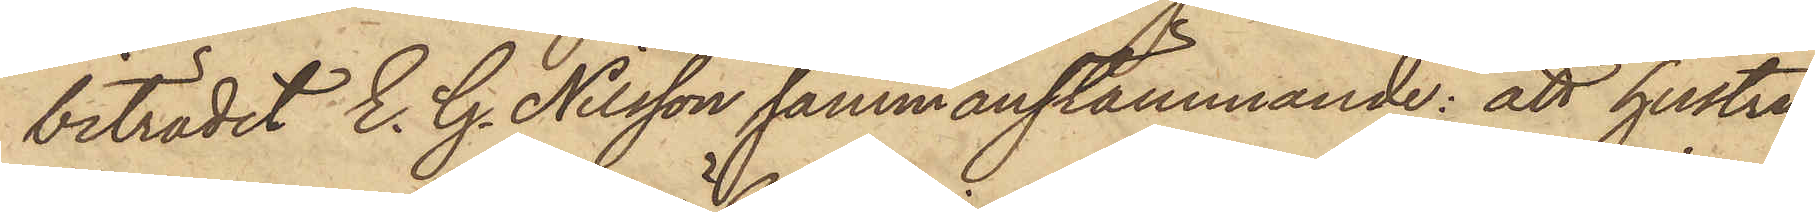biträdet E. G. Nilsson sammanstämmande: att hustru
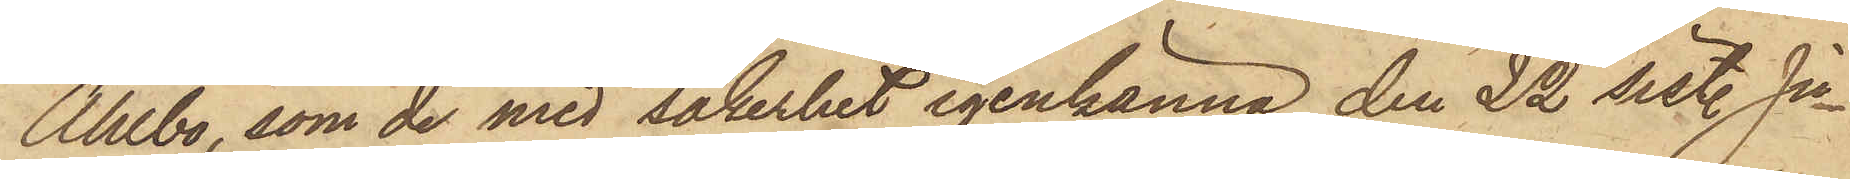Ahlbo, som de med säkerhet igenkänna, den 22 sist. Ju¬
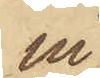ni
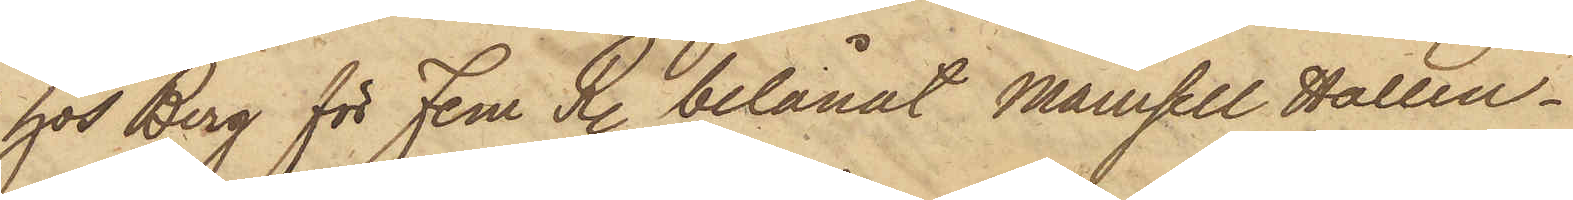hos Berg för Fem R. belånat Mamsell Hallen¬
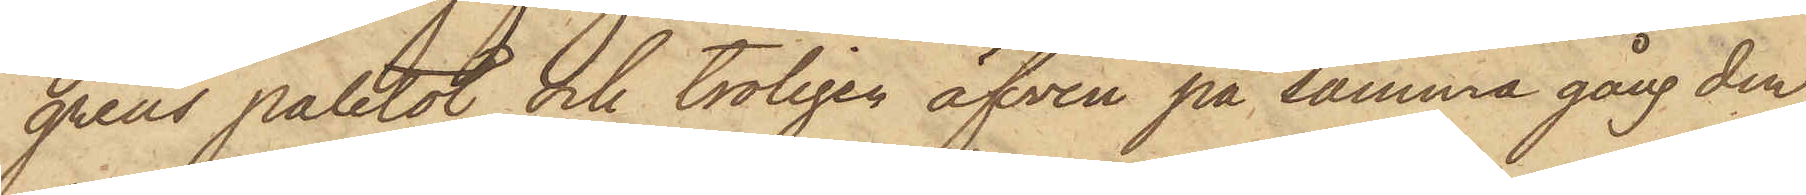grens paletot och troligen äfven på samma gång den
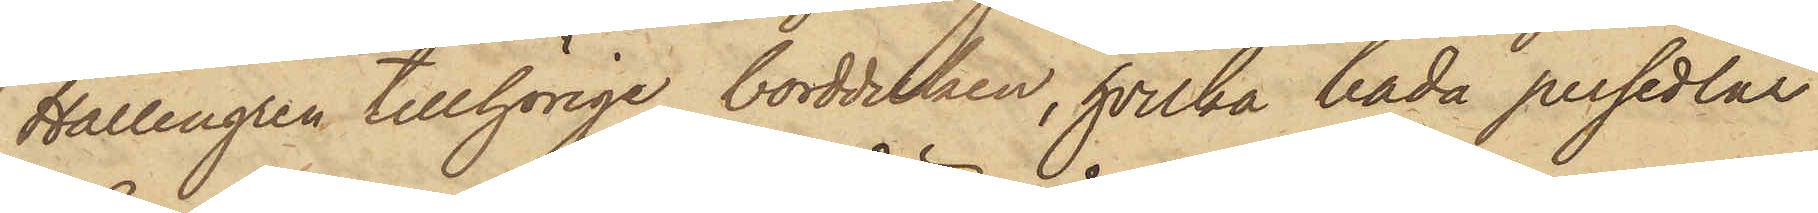Hallengren tillhörige bordduken, hvilka båda persedlar
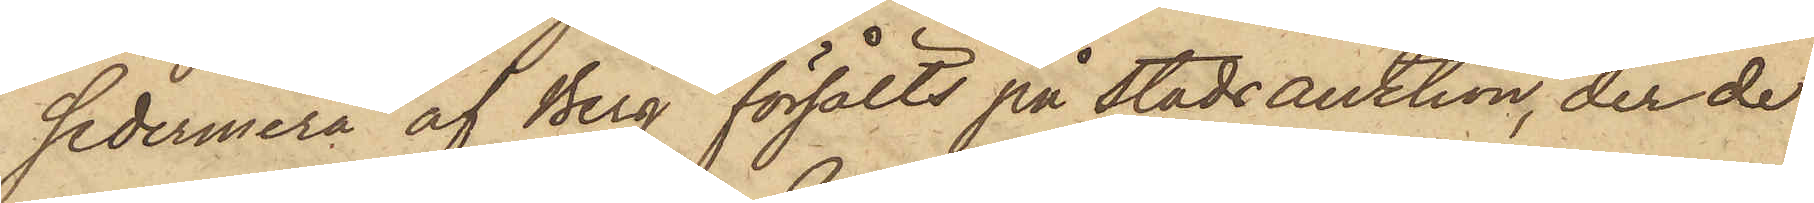sedermera af Berg försålts på Stadsauktion, der de
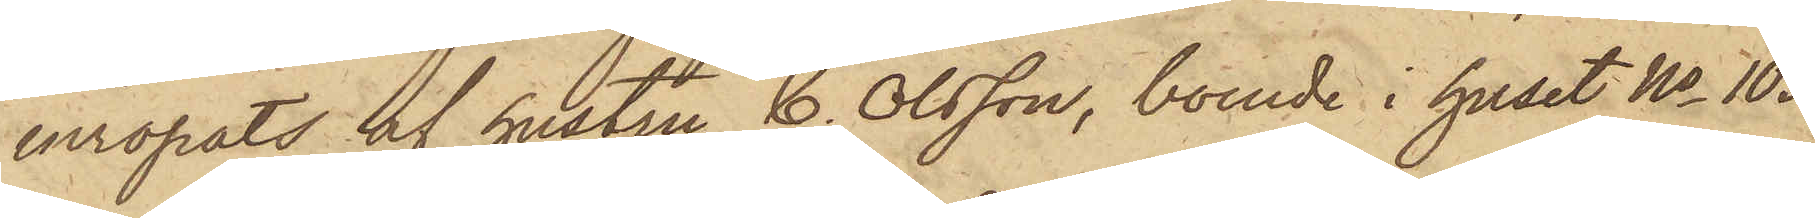inropats af hustru C. Olsson, boende i huset No 103
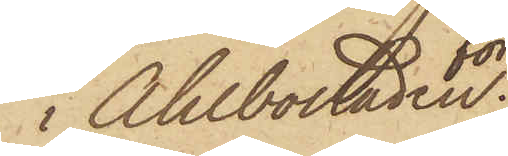i Ahlbostaden.
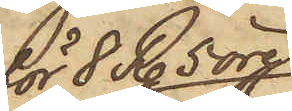för 8 R. 5 öre;
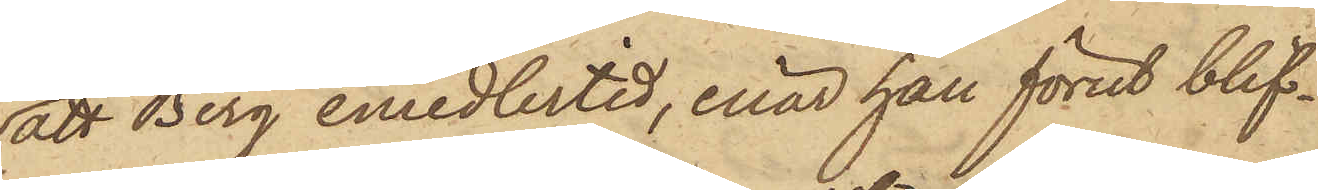att Berg emedlertid, enär han förut blif¬
